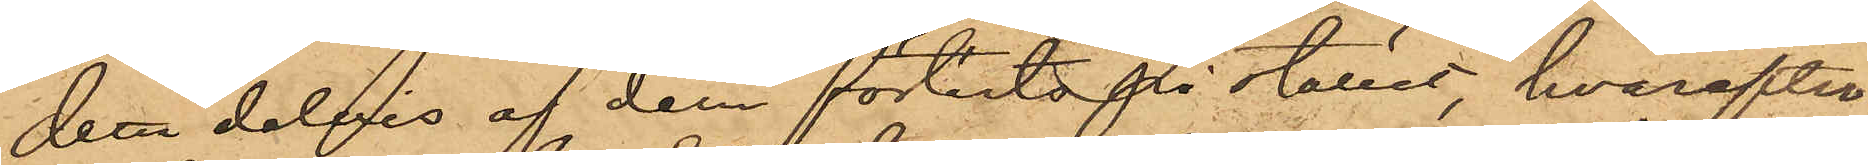dessa delvis af dem förtärts på stället, hvarefter
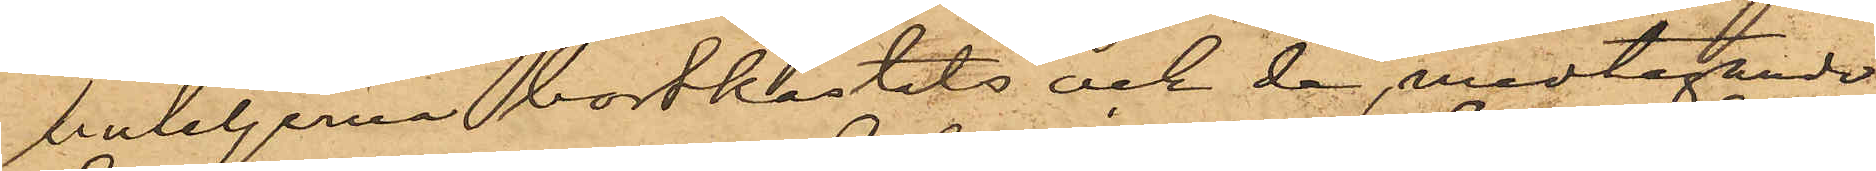buteljerna bortkastats och de, medtagande
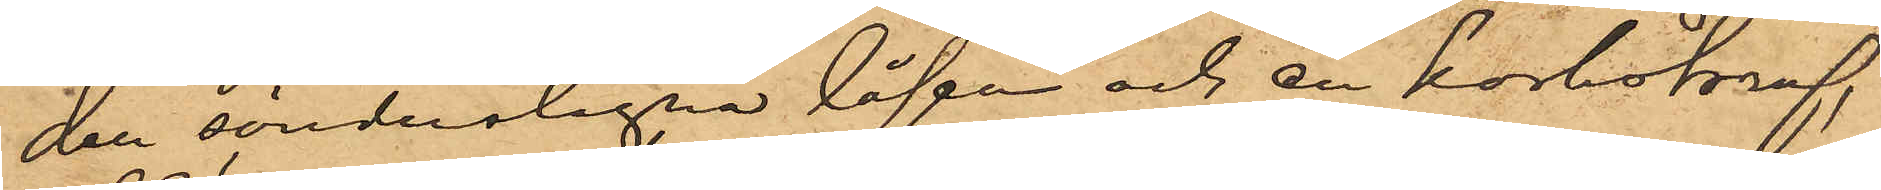den sönderlagna låsen och en korkskruf,
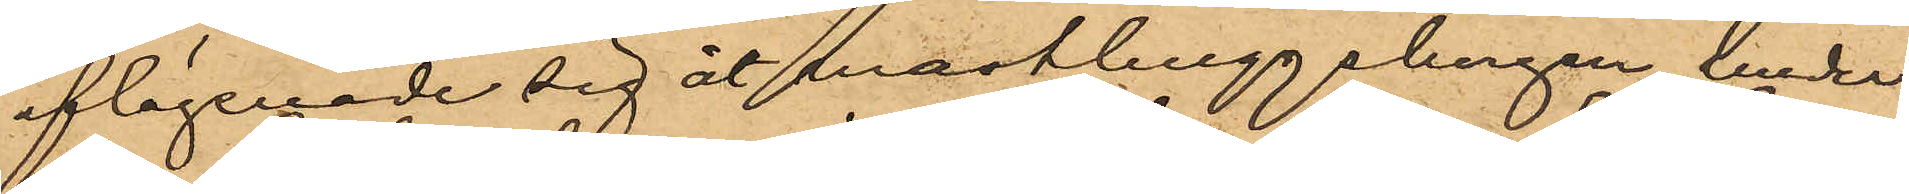aflägsnade sig åt masthuggsbergen, under
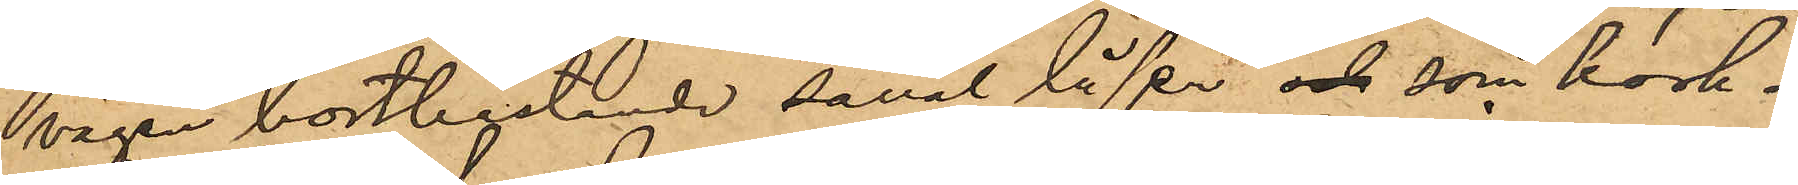vägen bortkastande såväl låsen och som kork¬
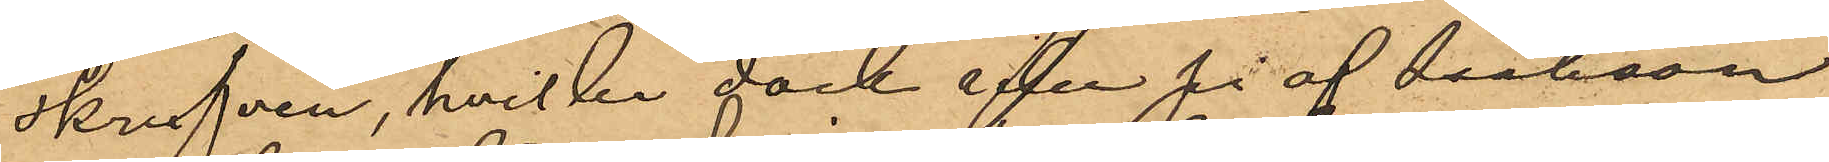skrufven, hvilka dock sedan på af Isaksson
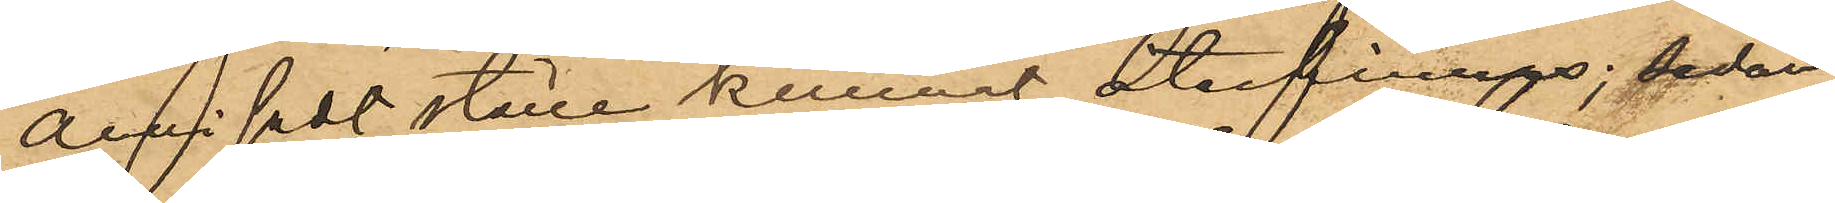anvisat ställe kunnat återfinnas; sedan
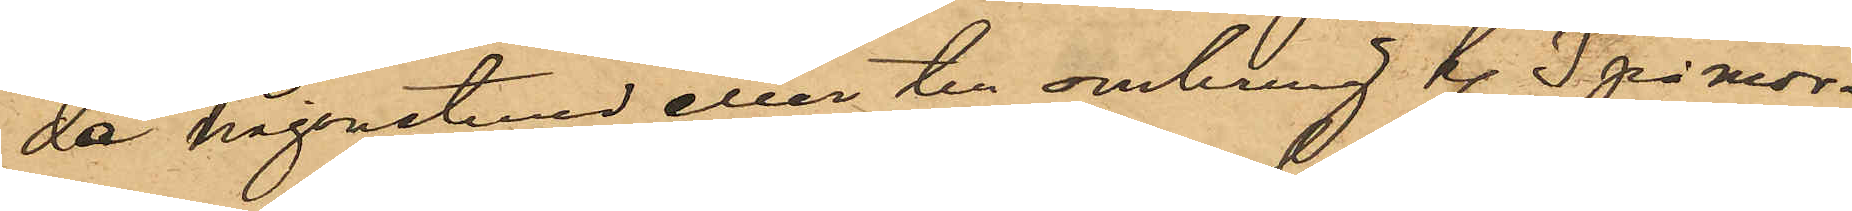de någonstund eller till omkring kl. 3 på mor¬
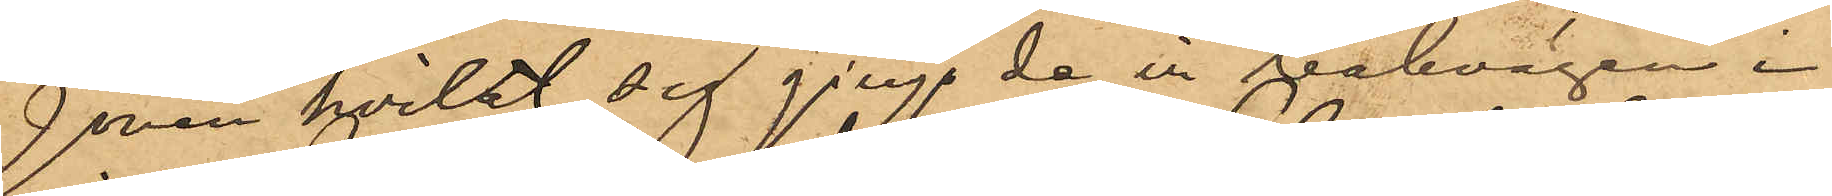gonen hvilat sig gingo de in bakvägen i
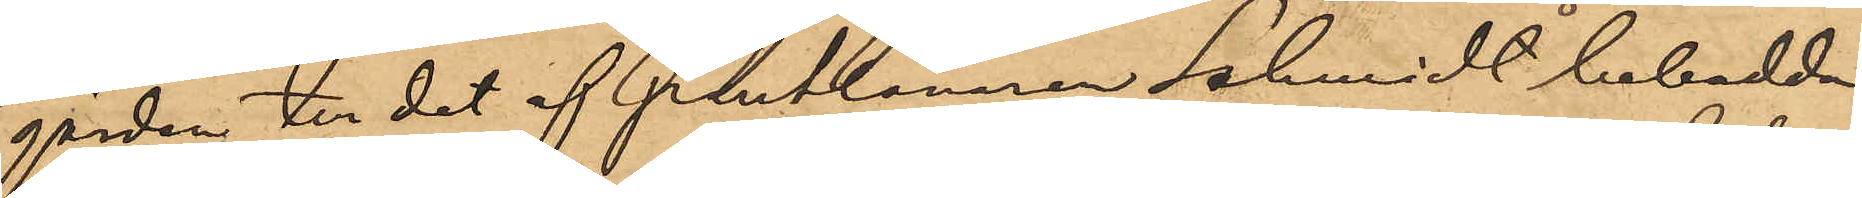gården till det af Pantlånaren Schmidt bebodda
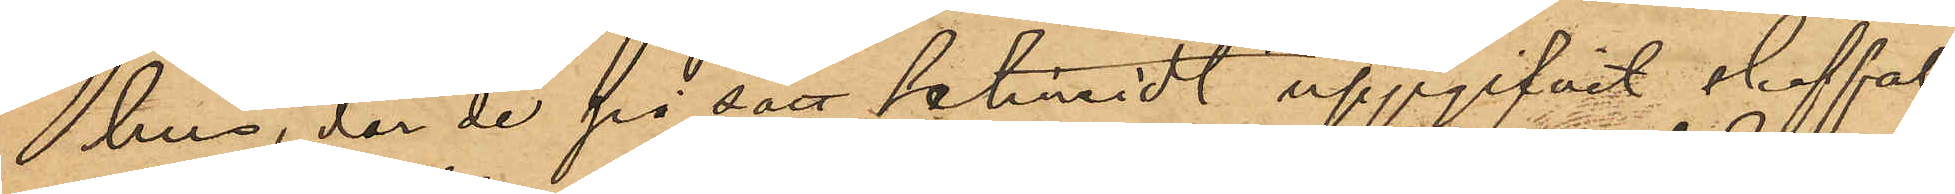hus, der de på sätt Schmidt uppgifvit skaffat
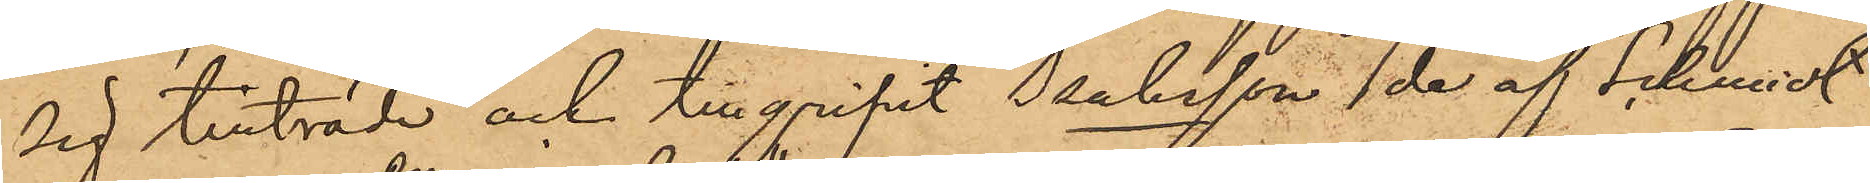sig tillträde och tillgripit Isaksson de af Schmidt
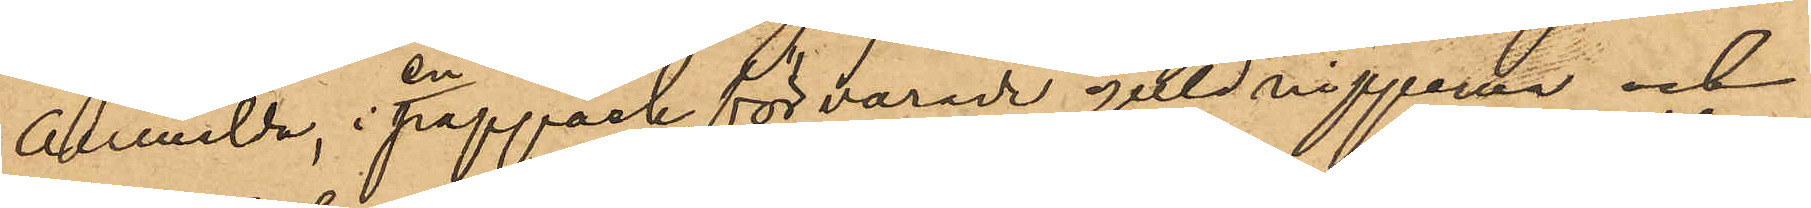anmälda, i en pappask, förvarade guldnipperna och
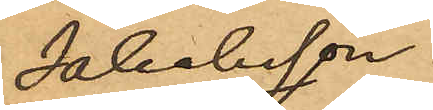Jakobsson
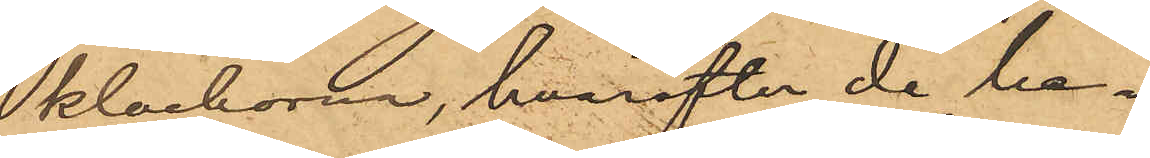klockorna, hvarefter de be¬
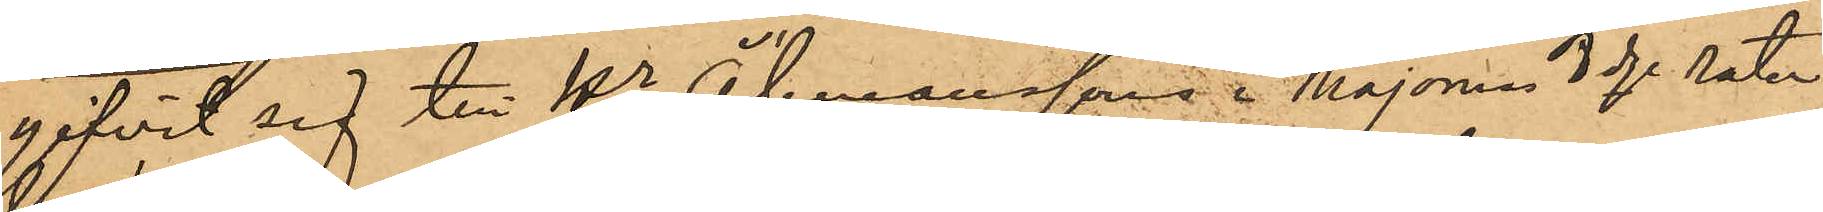gifvit sig till Hr Åhmanssons i Majornas 3dje rote
